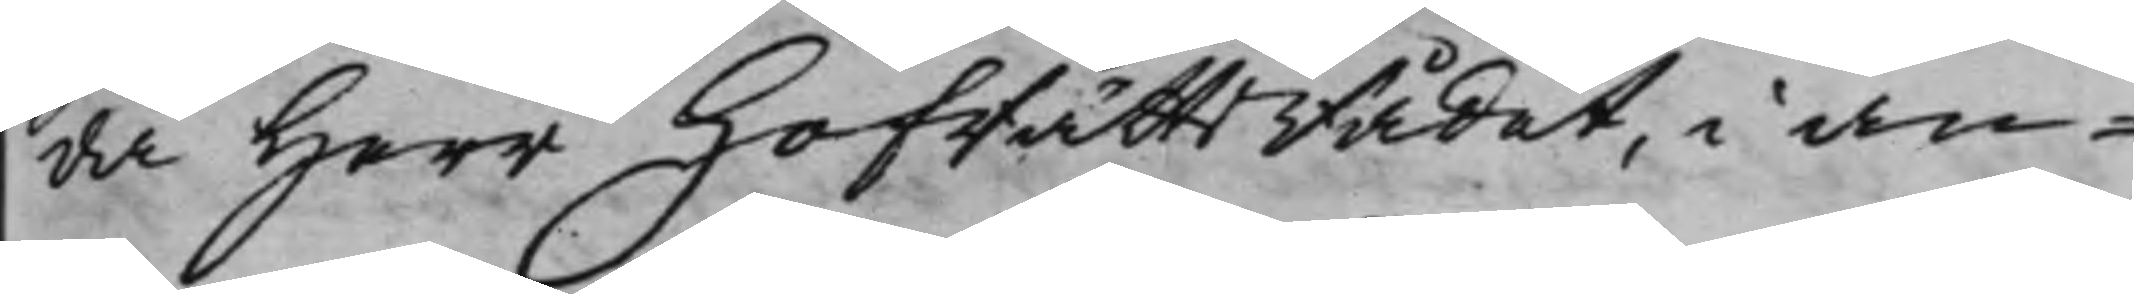da Herr HofRättsRådet, i an¬
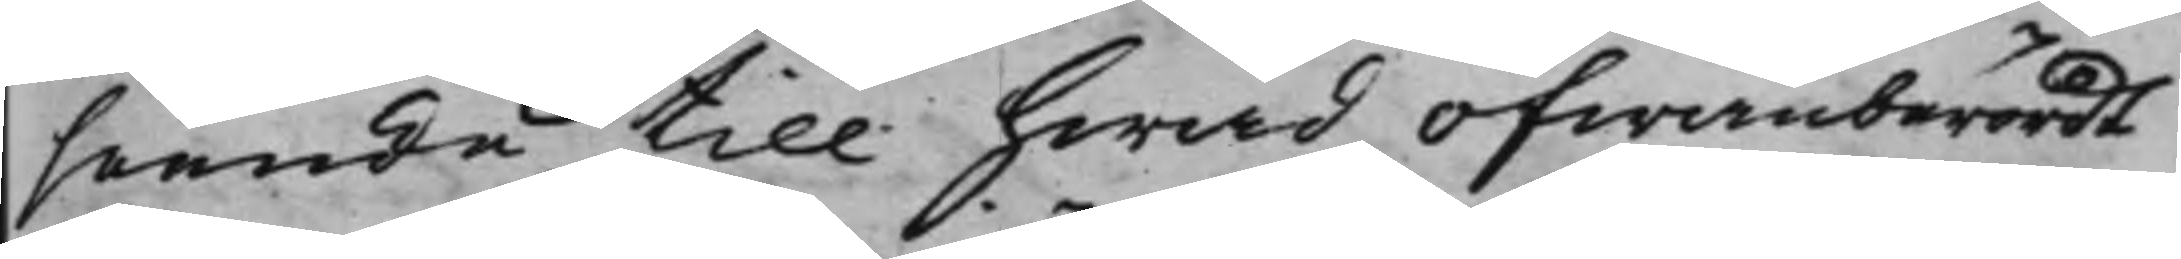seende till hwad ofwanberördt
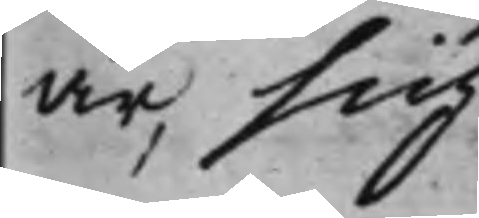är, sig
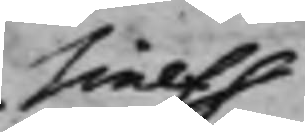sielf
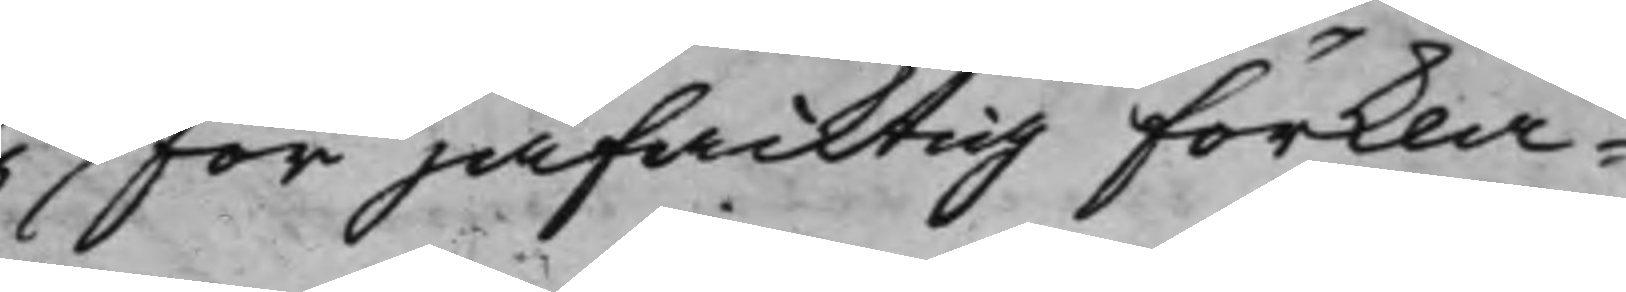för jäfaktig förkla¬
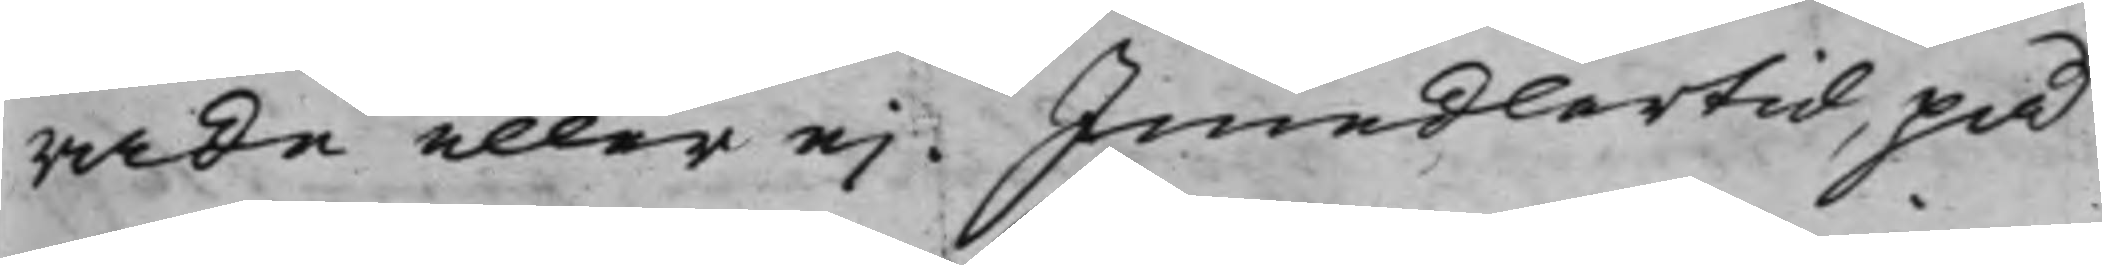rade eller ei. Imedlertid, på
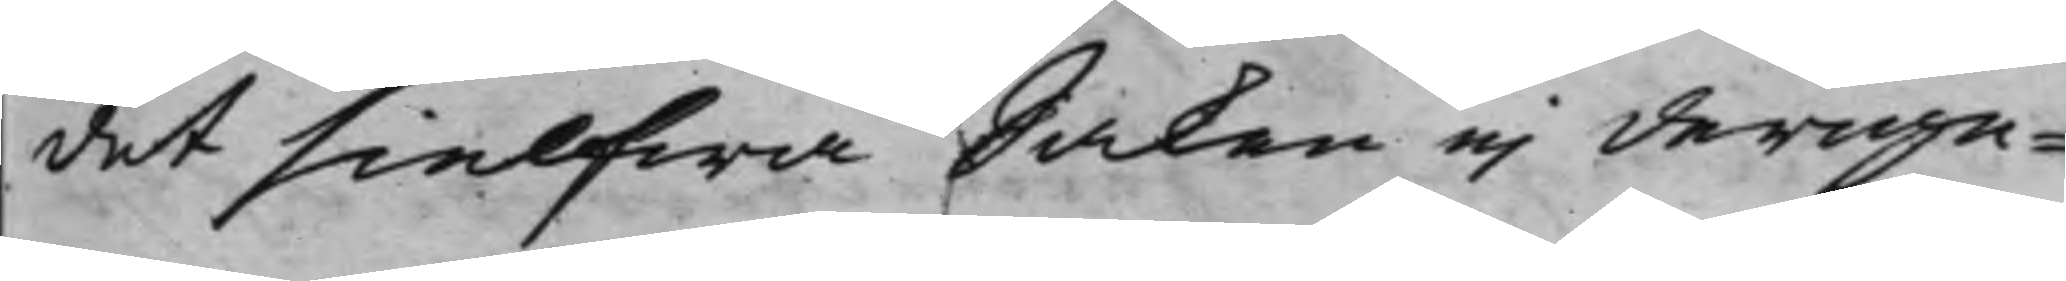det sielfwa Saken ei derige¬
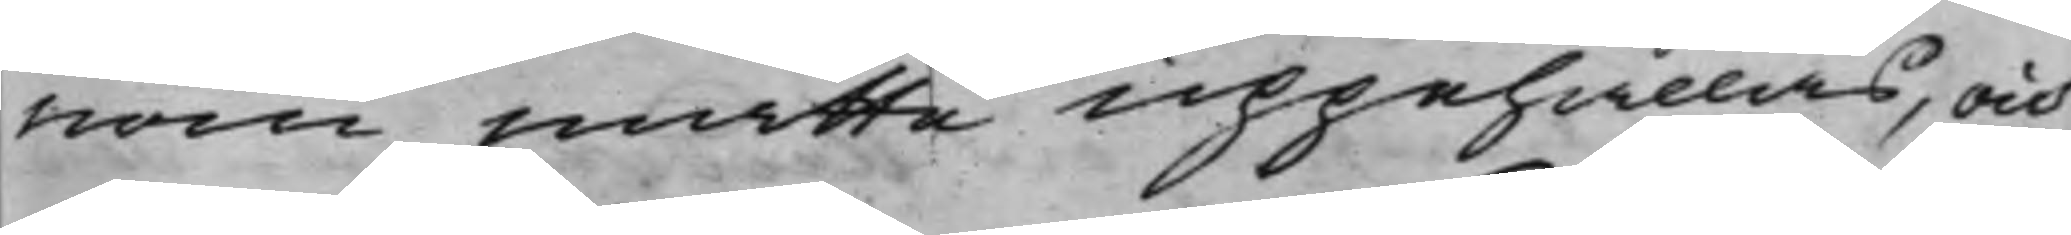nom måtte uppehållas, och
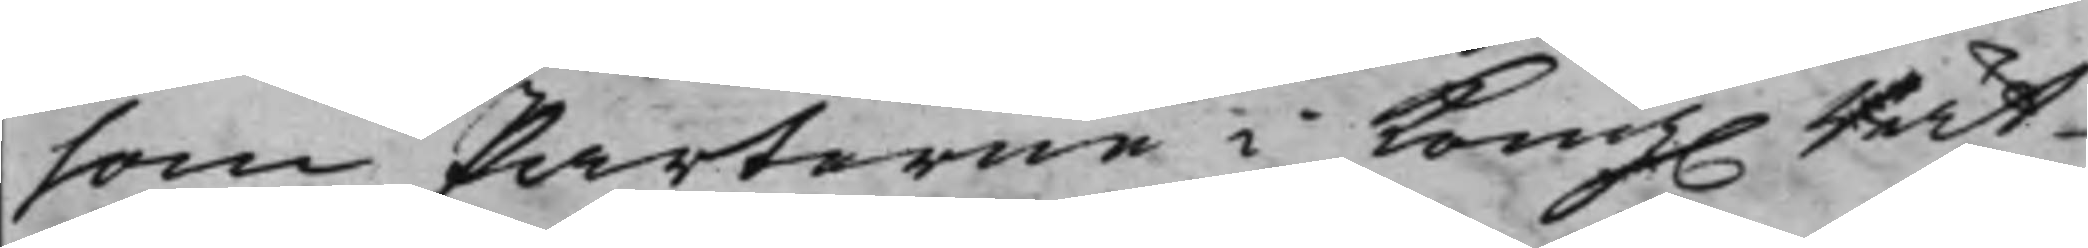som Parterne i Kong. Rät¬
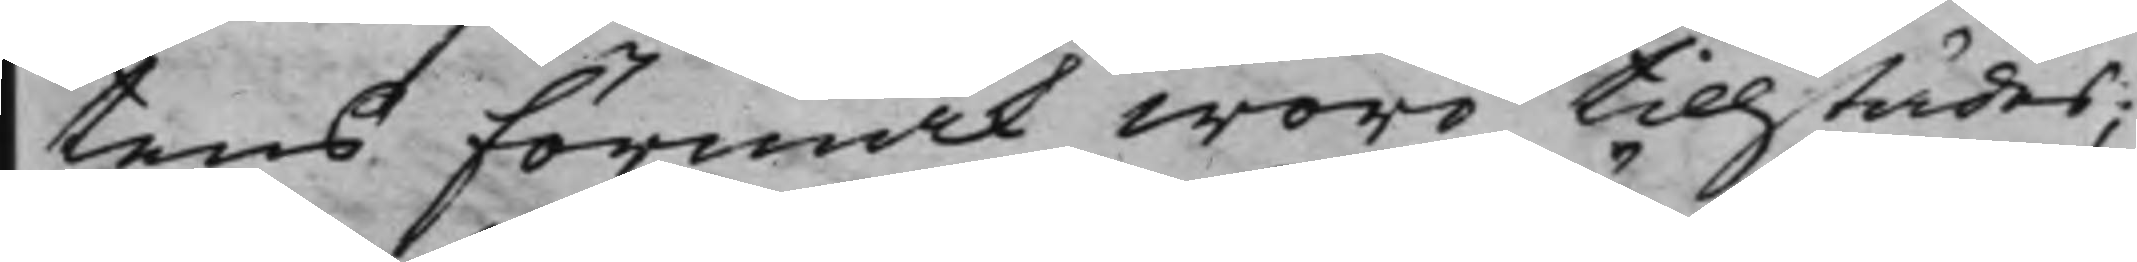tens förmak woro tillstädes;
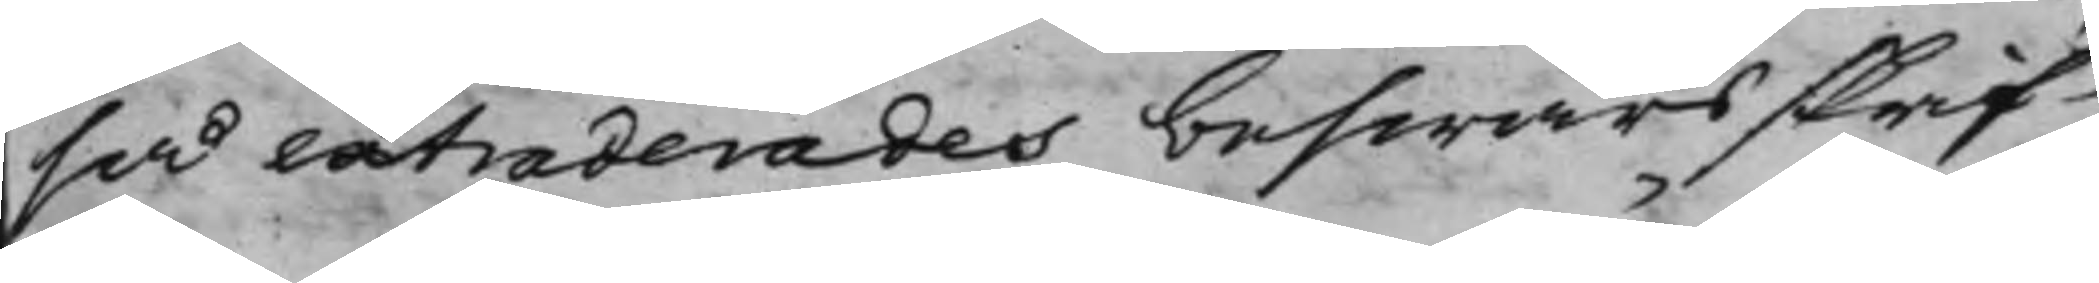så extraderades beswärsskrif¬
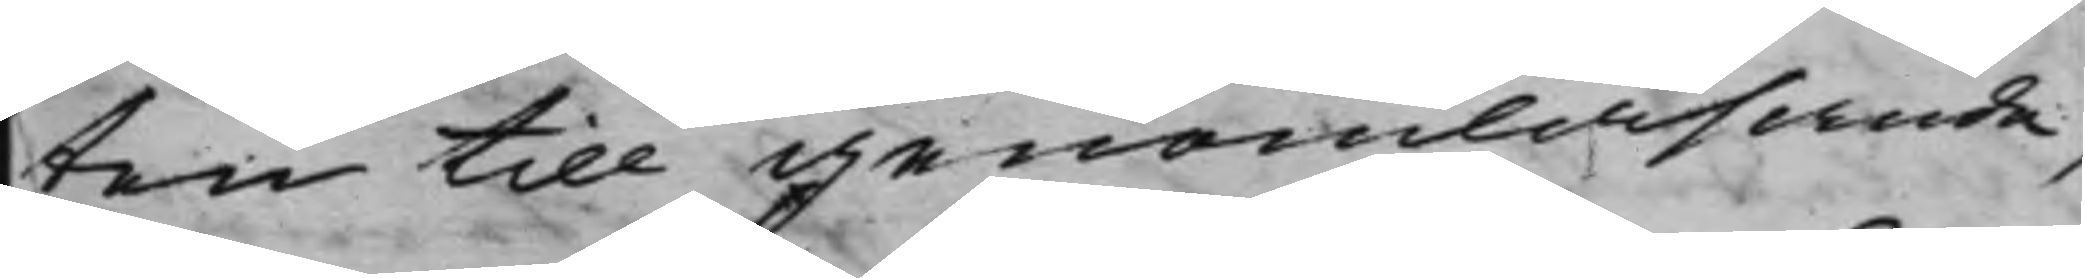ten till genomläsande,
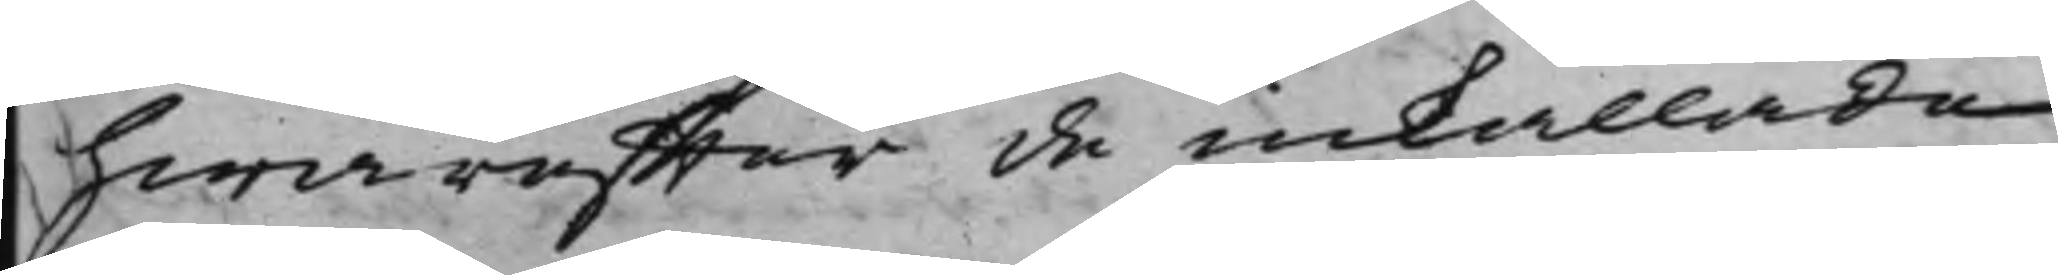hwareffter de inkallade
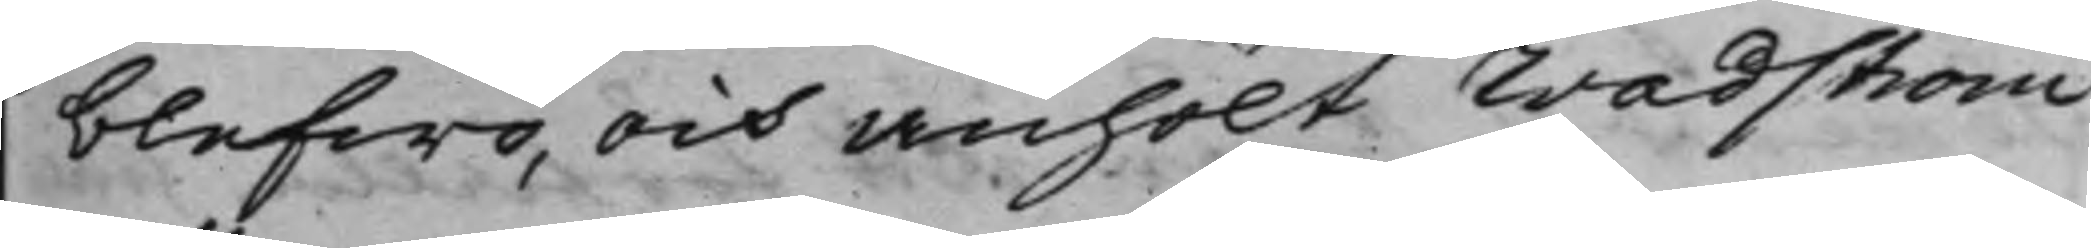blefwo, och anhölt Wadström
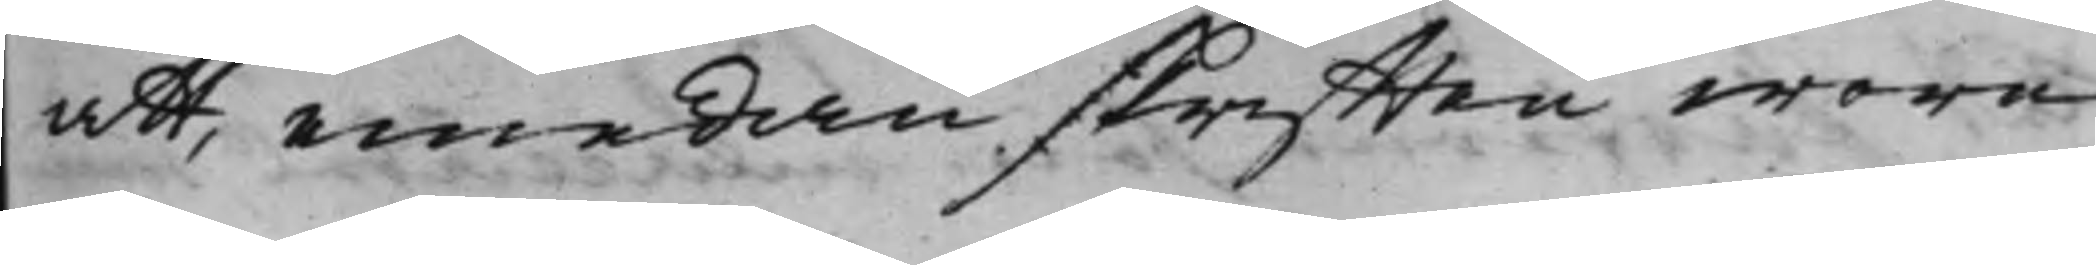att, emedan skrifften wore
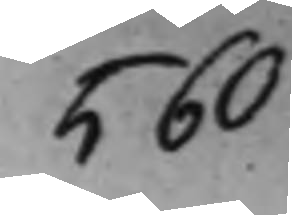560
